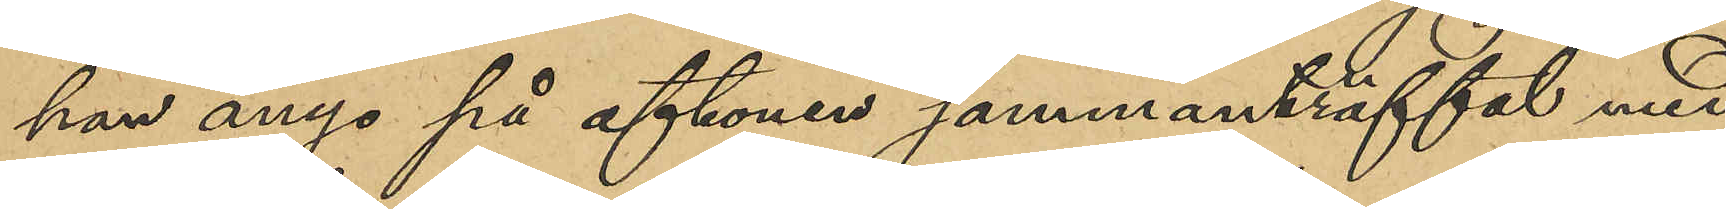han ånyo på aftonen sammanträffat med
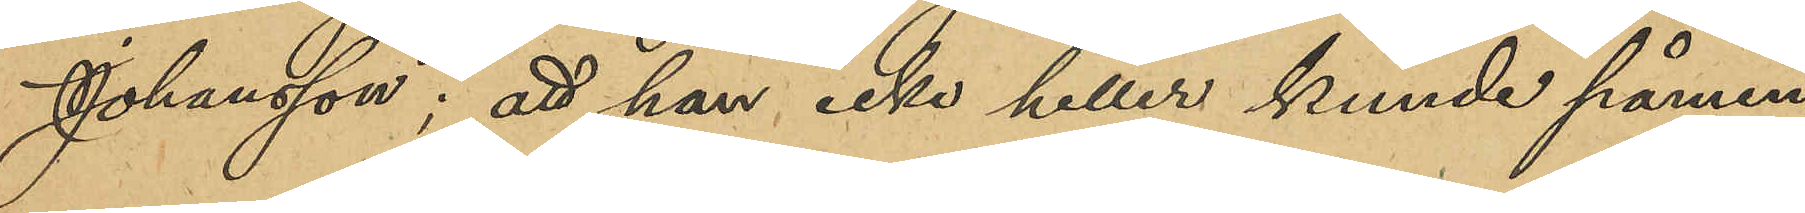Johansson; att han icke heller kunde påmin¬
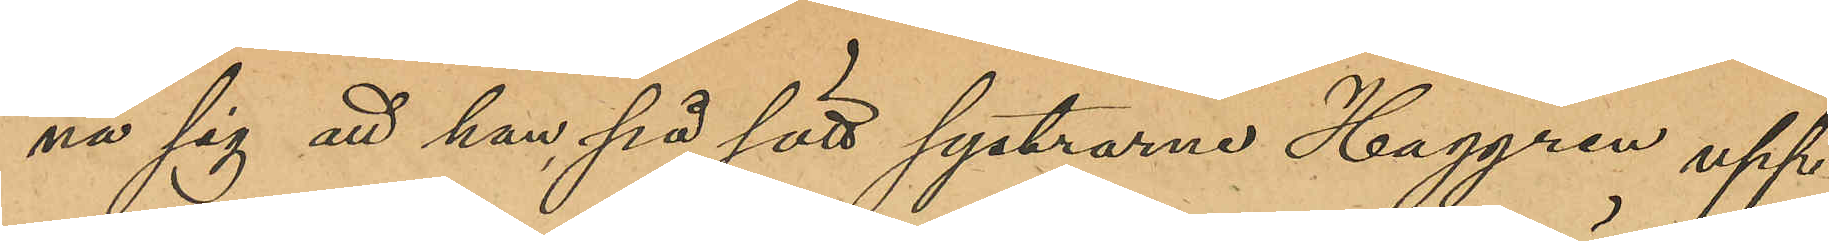na sig att han på sätt systrarne Haggren upp¬
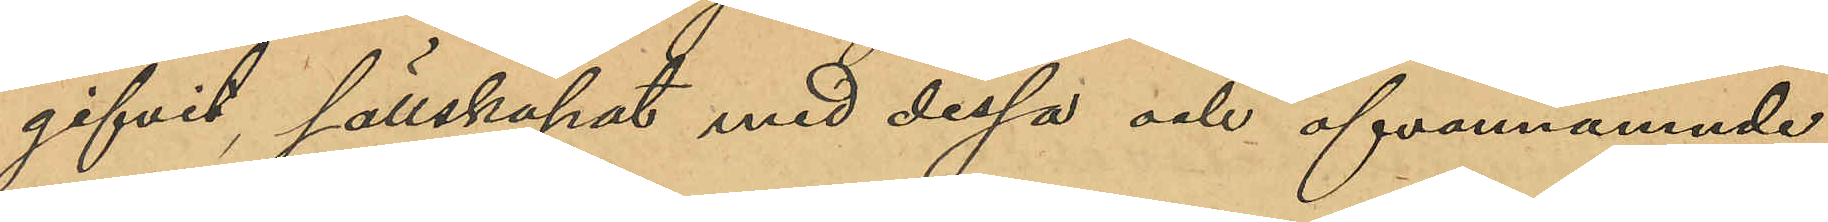gifvit sällskapat med dessa och ofvannämnde
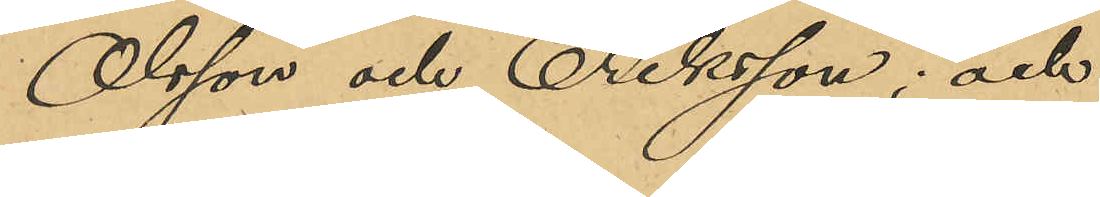Olsson och Eriksson; och
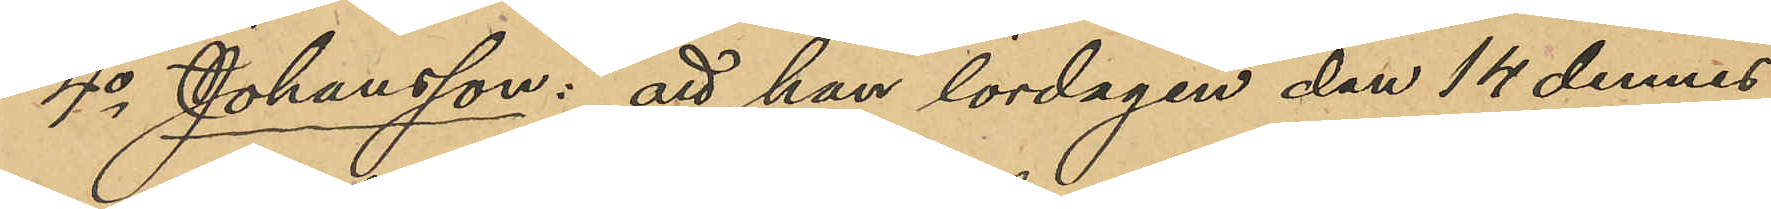4o Johansson: att han lördagen den 14 dennes
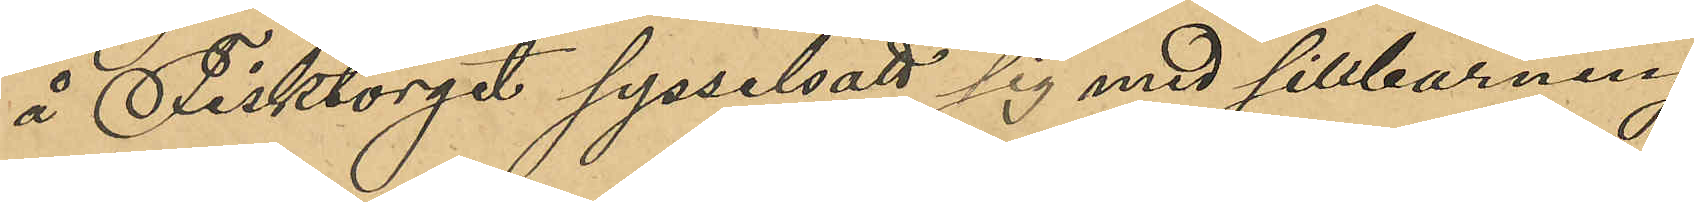å Fisktorget sysselsatt sig med sillbäring
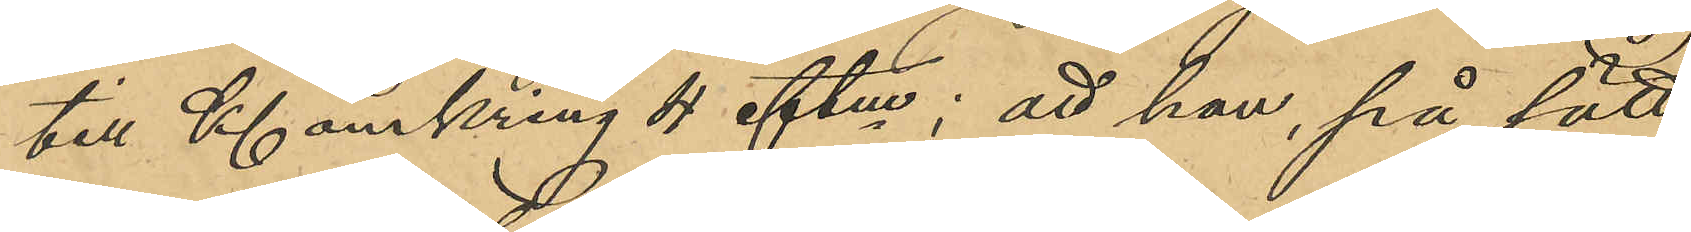till Kl omkring 4 eftm; att han, på sätt
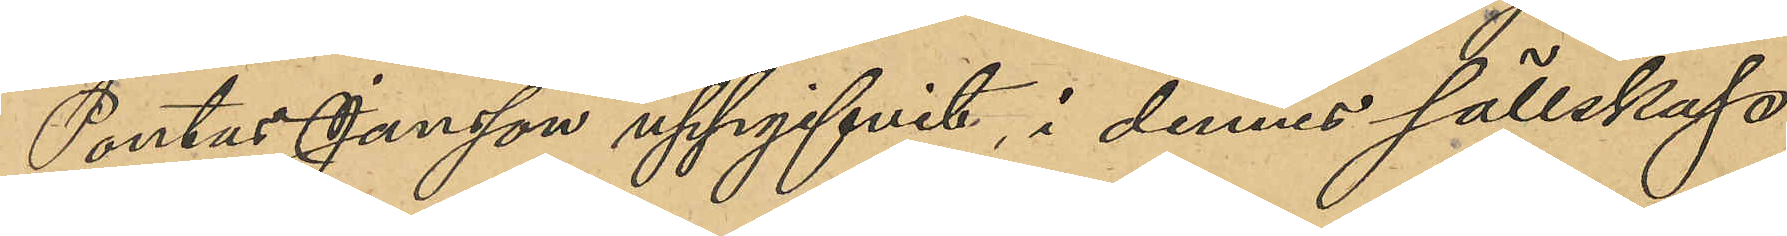Pontus Jansson uppgifvit, i dennes sällskap
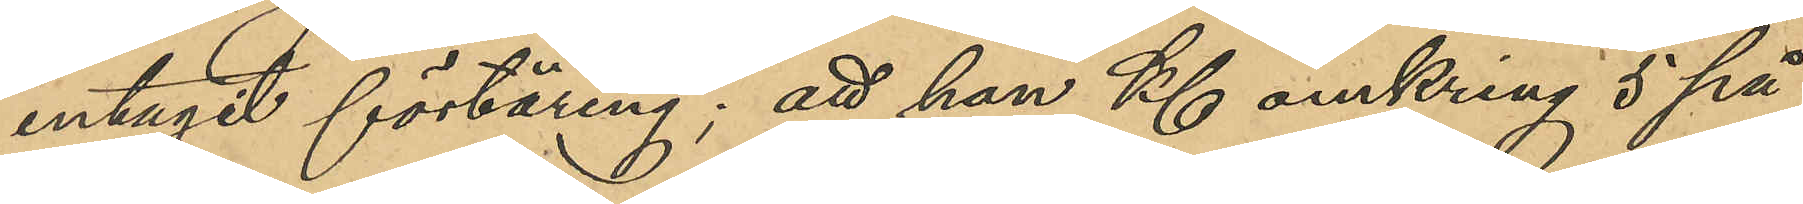intagit förtäring; att han Kl omkring 5 på
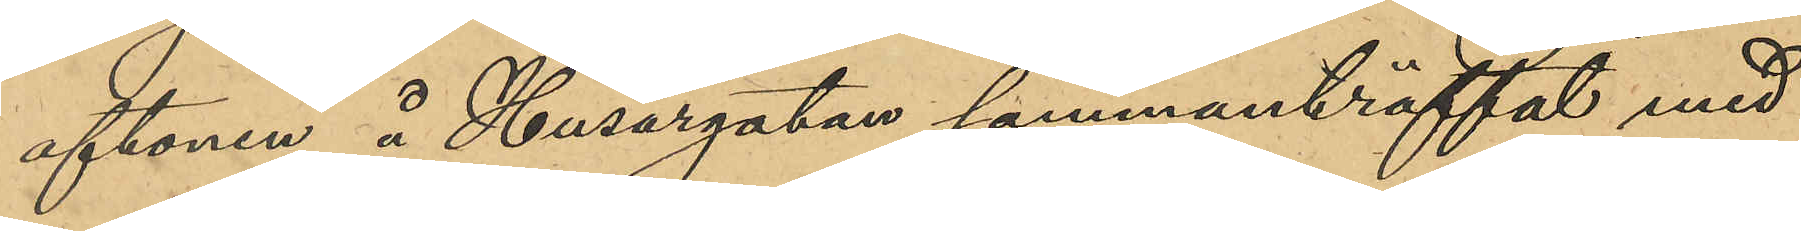aftonen å Husargatan sammanträffat med
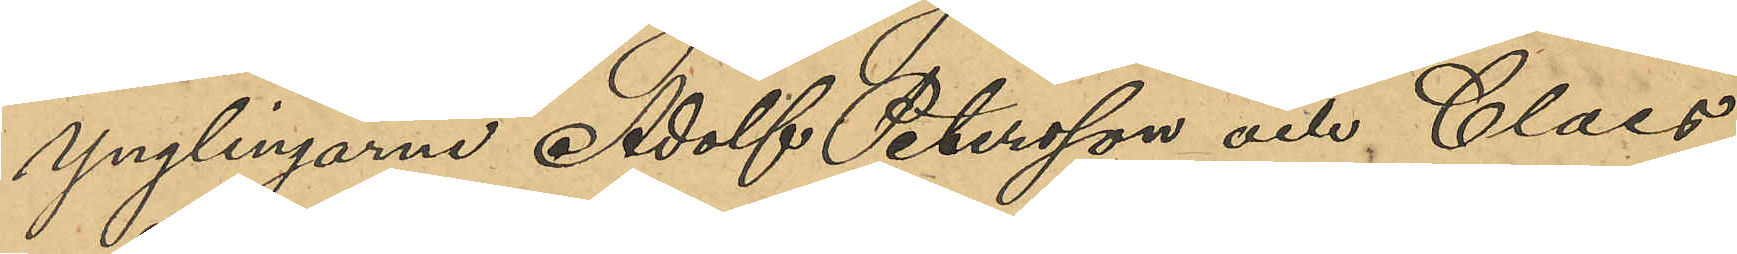ynglingarna Adolf Petersson och Claes 
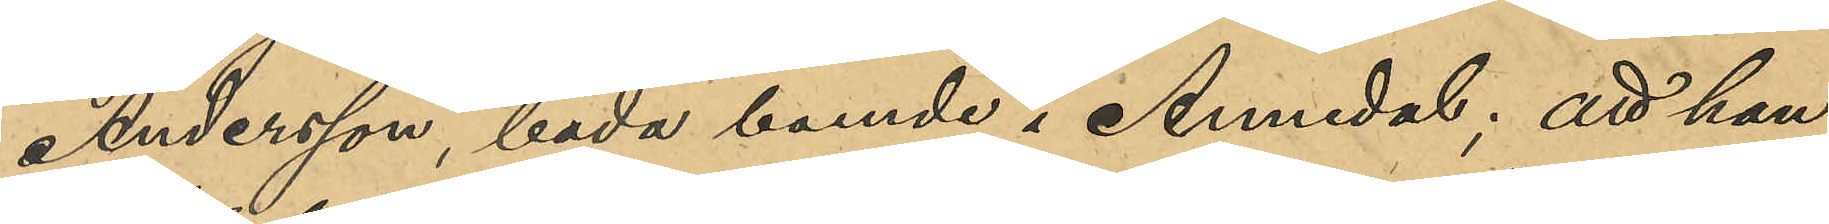Andersson, båda boende i Annedal; att han
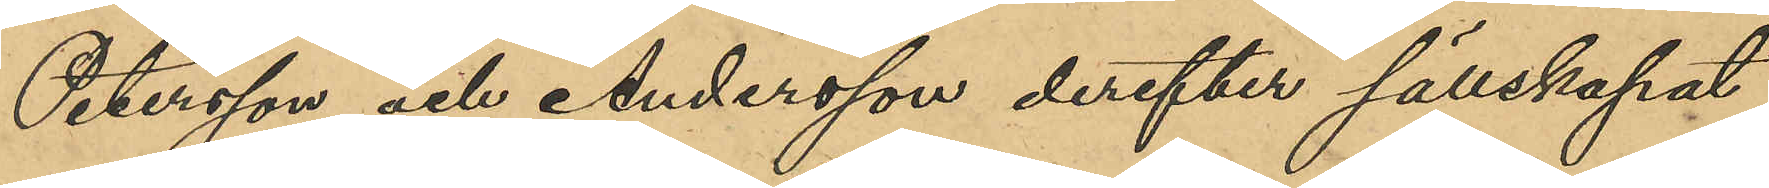Petersson och Andersson derefter sällskapat
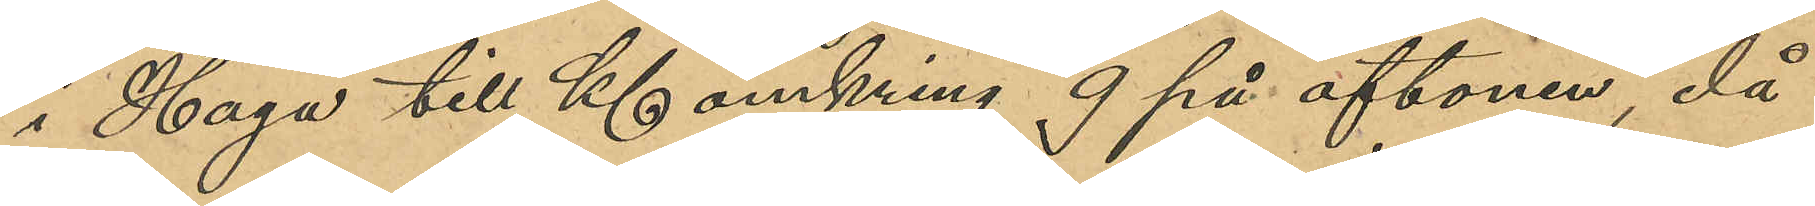i Haga till Kl omkring 9 på aftonen, då
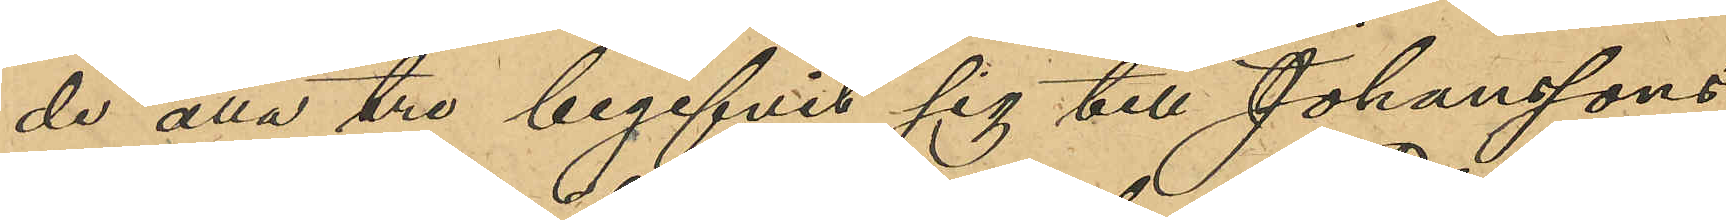de alla tre begifvit sig till Johanssons
